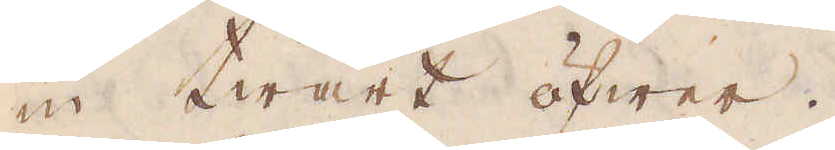in twärt öfwer.
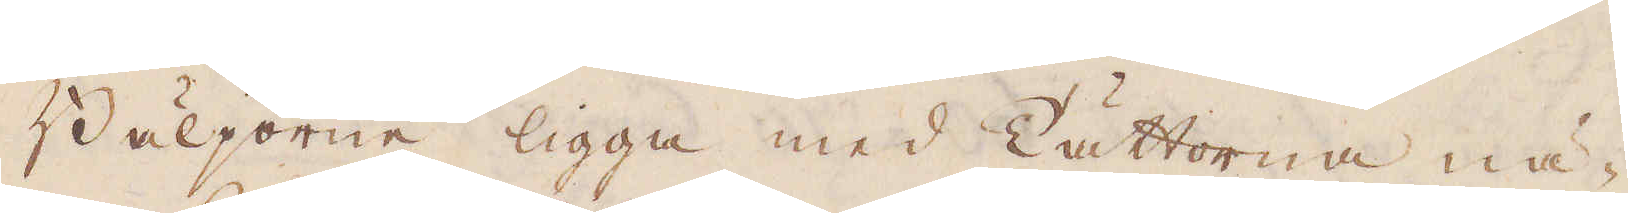Bäljorne ligga med Tättorna nä-
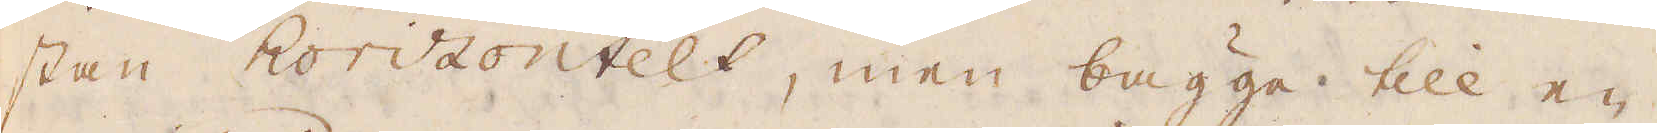stan horizontelt, men bägge till en
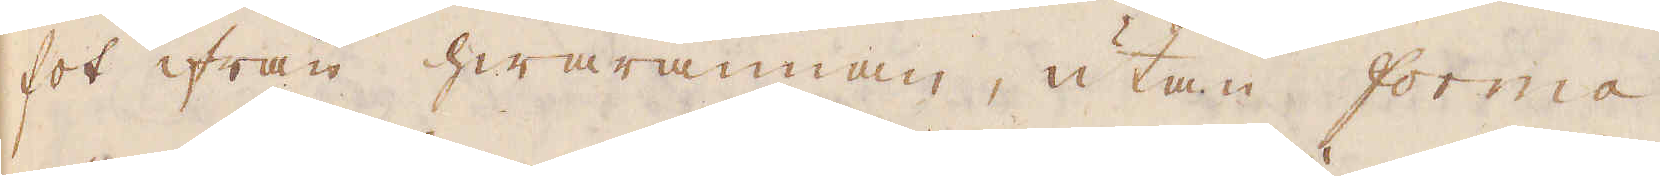fot ifrån hwarannan, utan forma
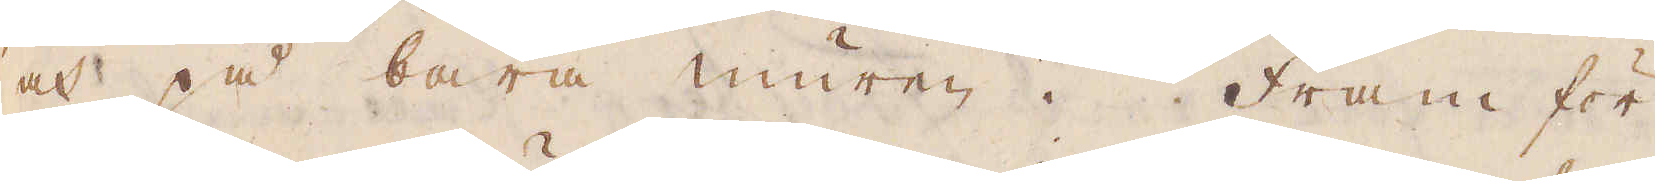och på bara muren. Fram för
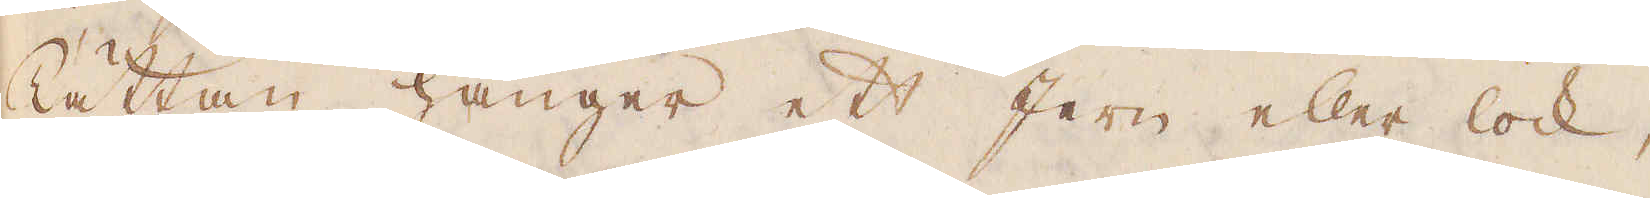Tättan hänger ett Jern eller lock,
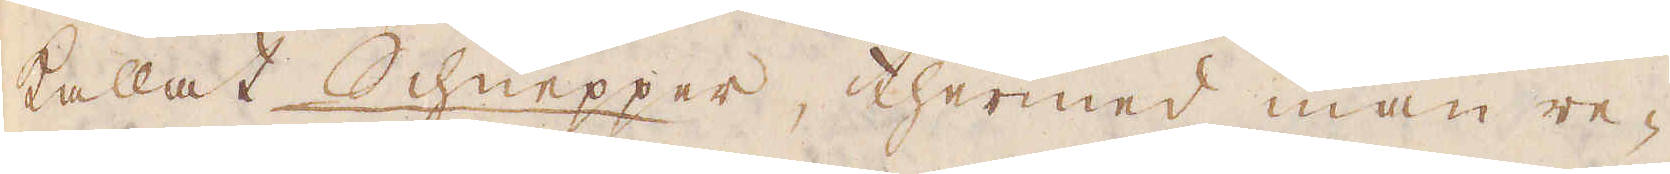kallat Schnepper, thermed man re-
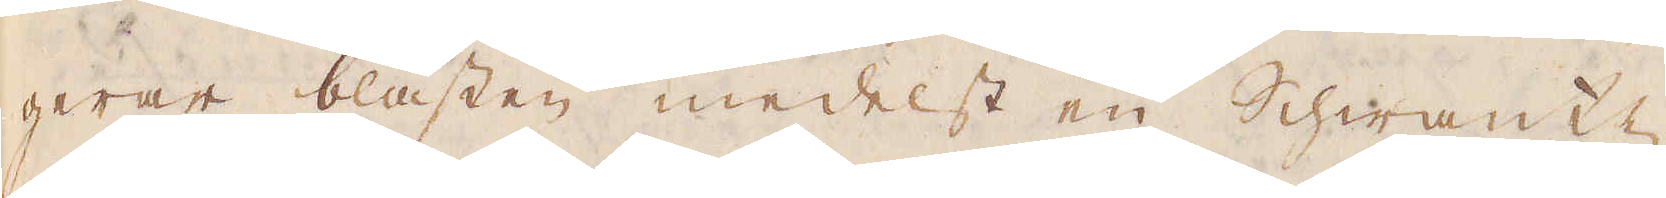gerar blästen medelst en Schwantz
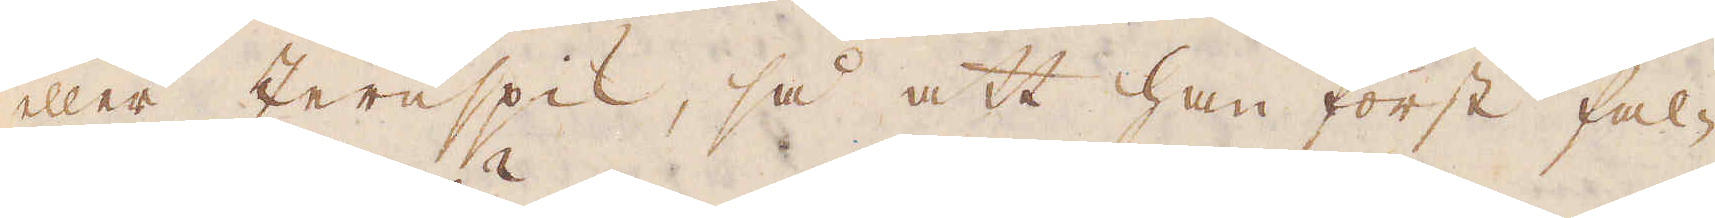eller Jernspik, så att han först fal-
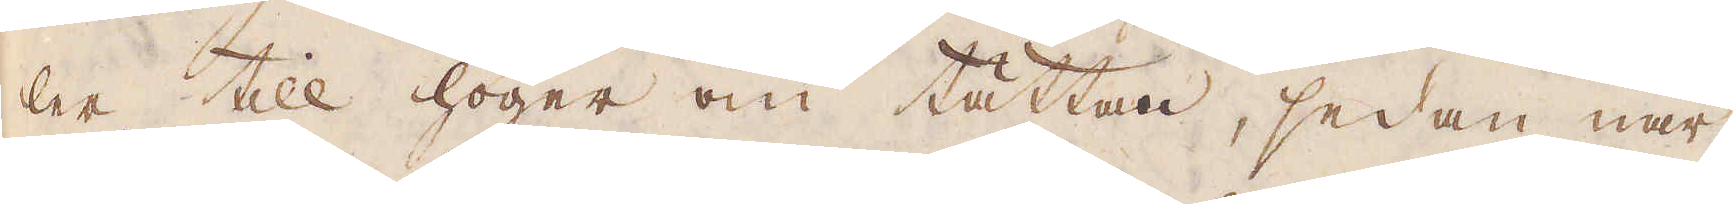ler till höger om tättan, sedan när
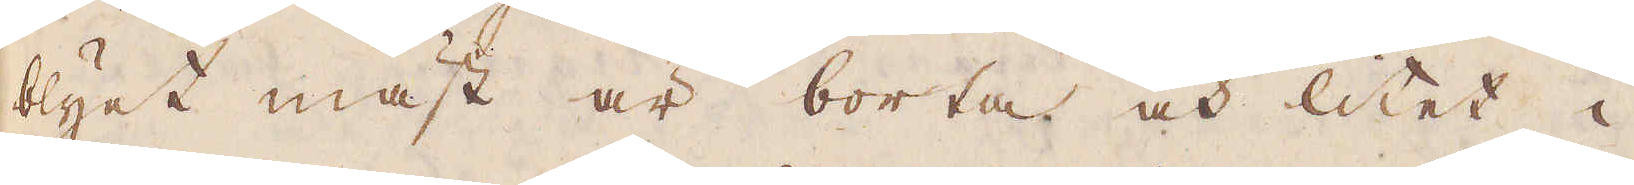blyet mäst är borta och litet i
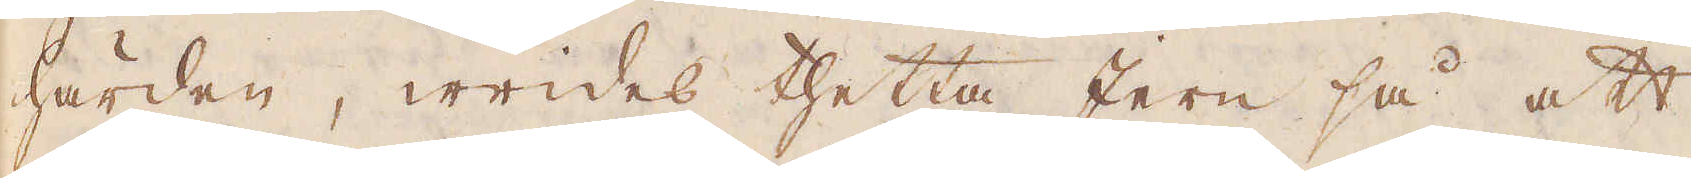härden, wides thetta Jern så att
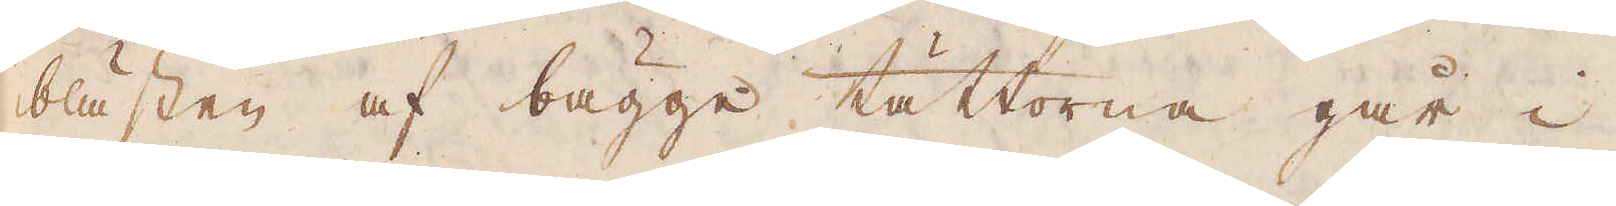blästen af bägge tättorna går i
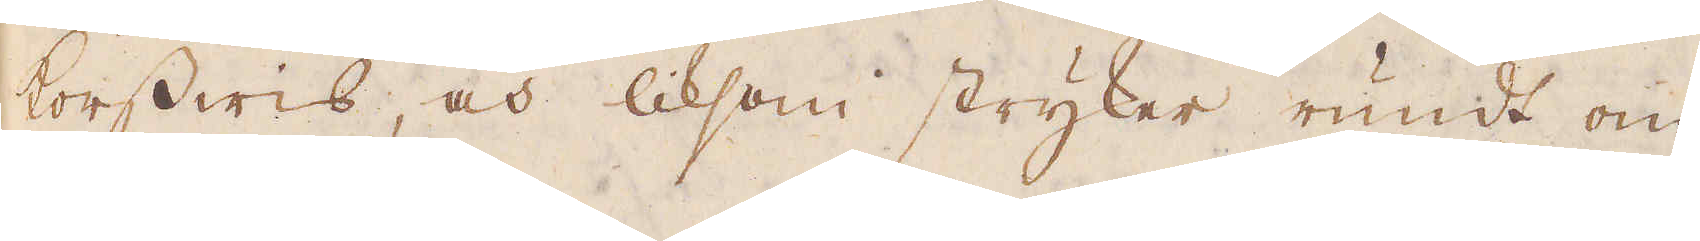korswis, och liksom stryker rundt om
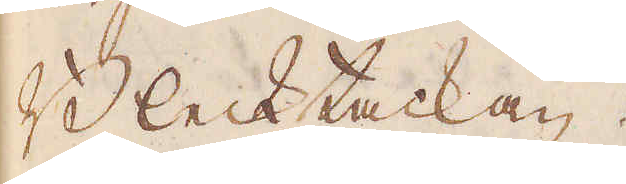Blecktackan.
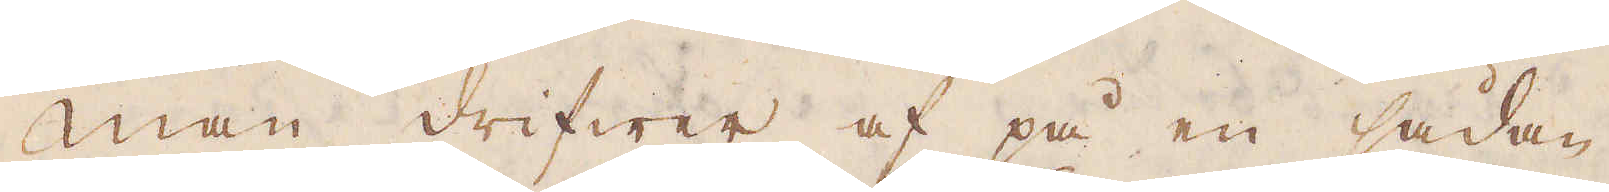Man drifwer af på en sådan
